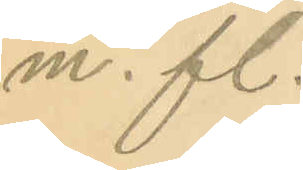m. fl.
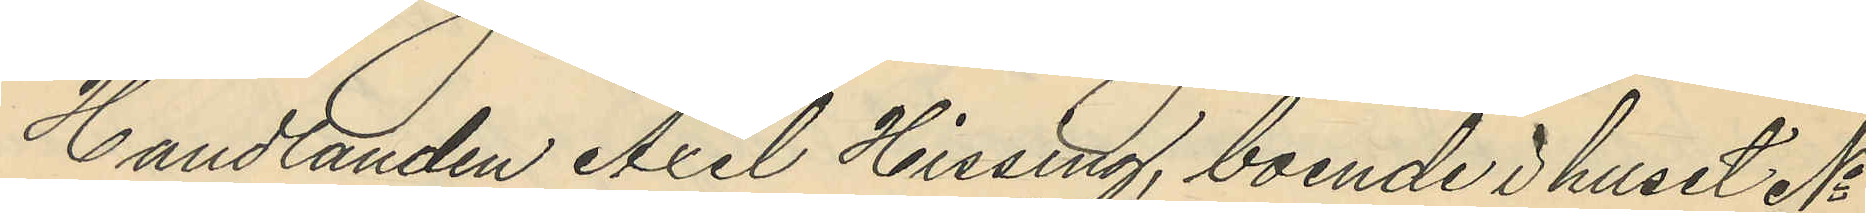Handlanden Axel Hissing, boende i huset No
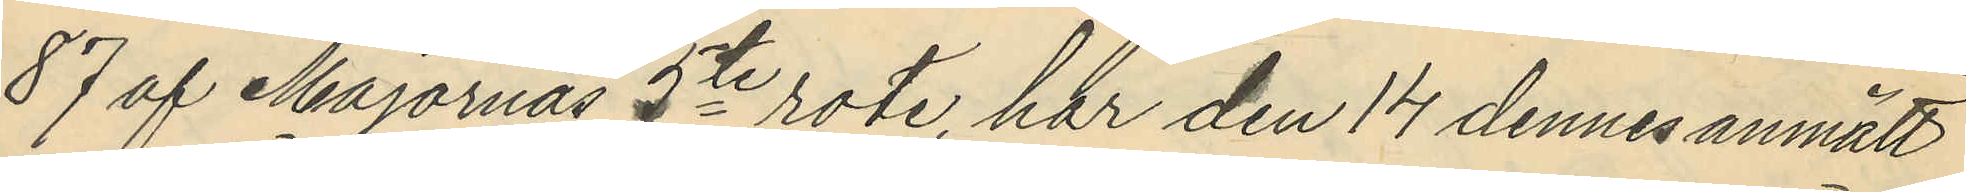87 af Majornas 5te rote, har den 14 dennes anmält
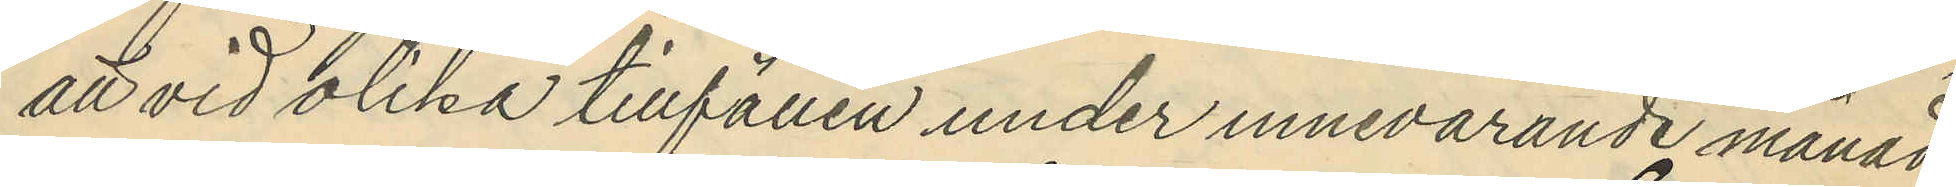att vid olika tillfällen under innevarande månad
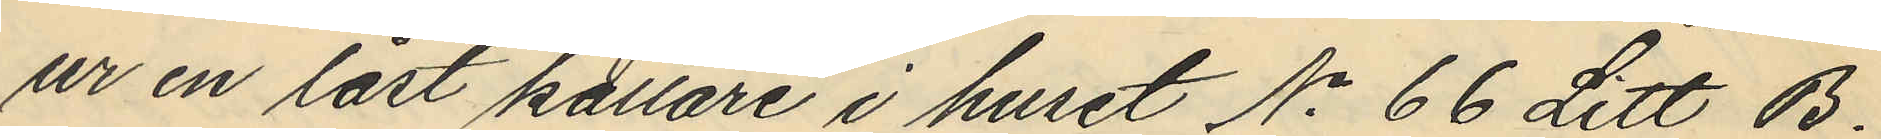ur en låst källare i huset No 66 Litt B.
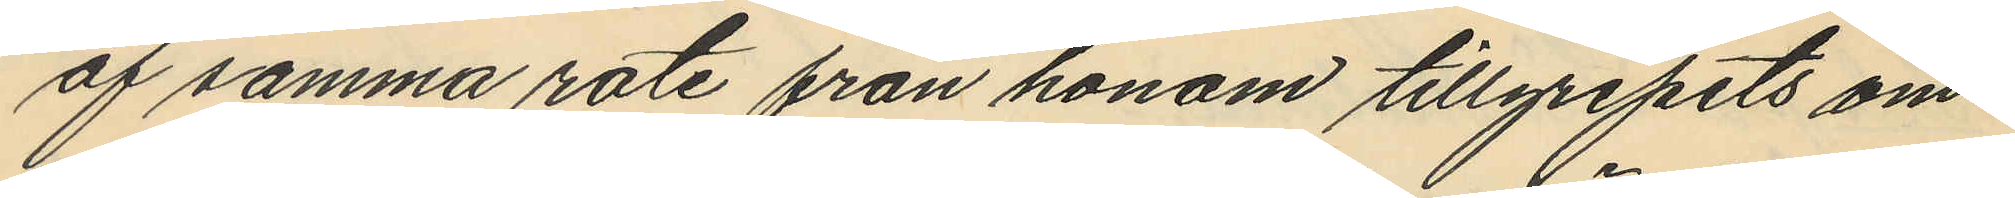af samma rote från honom tillgripits om¬
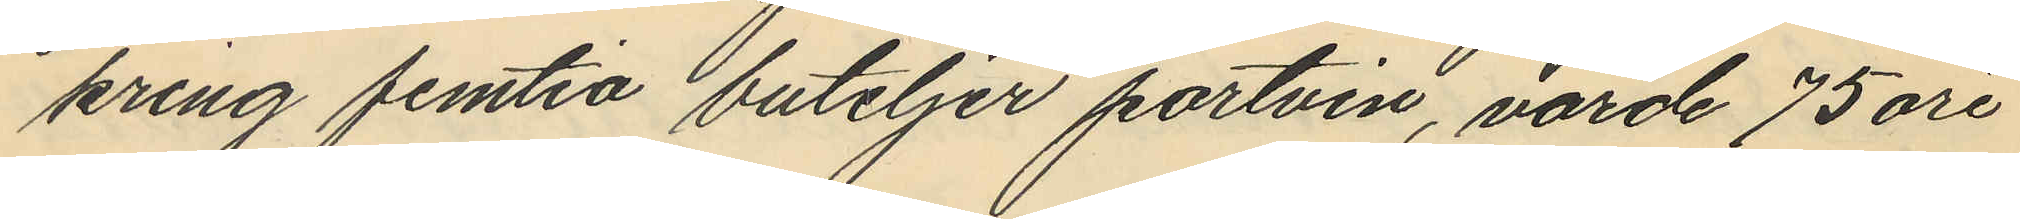kring femtio buteljer portvin, värde 75 öre
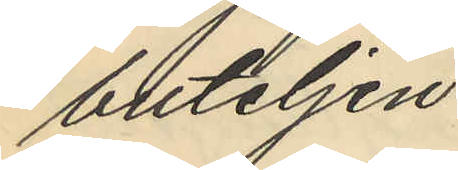buteljen.
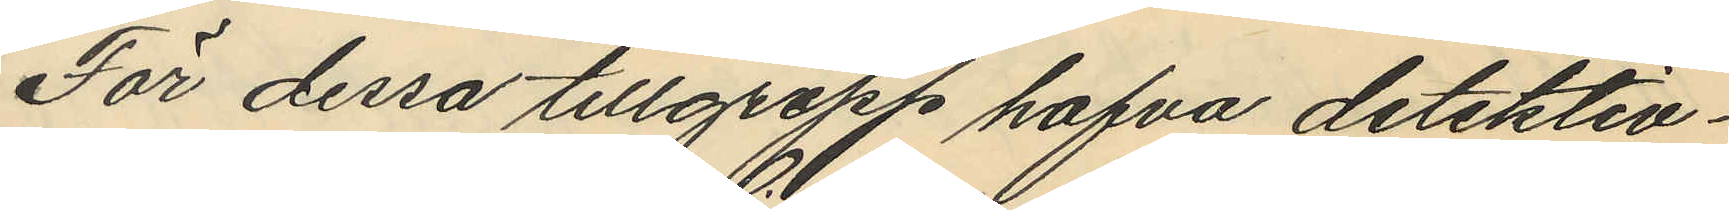För dessa tillgrepp hafva detektiv¬
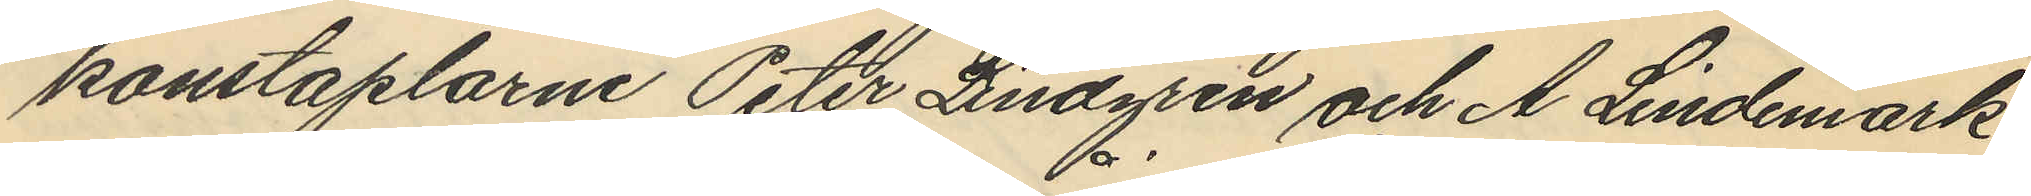konstaplarne Peter Lindgren och A Lindemark
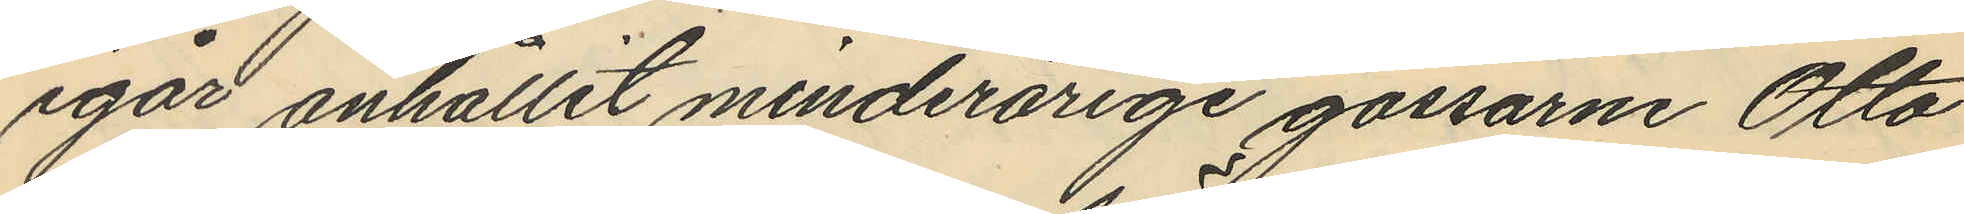igår anhållit minderårige gossarne Otto
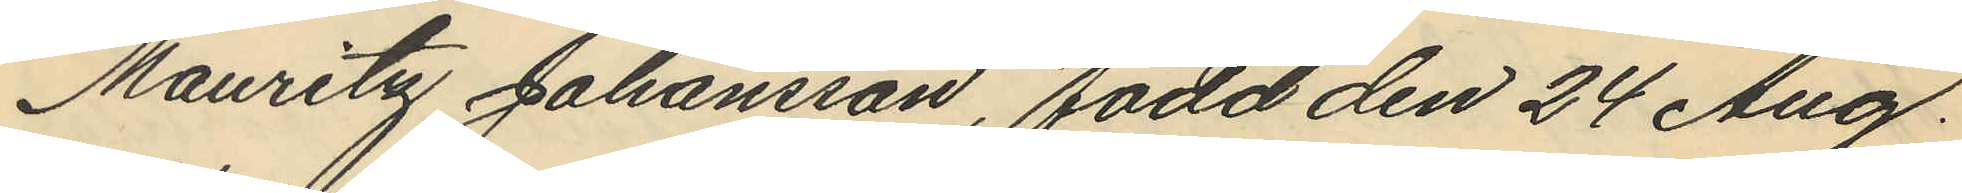Mauritz Johansson, född den 24 Aug.
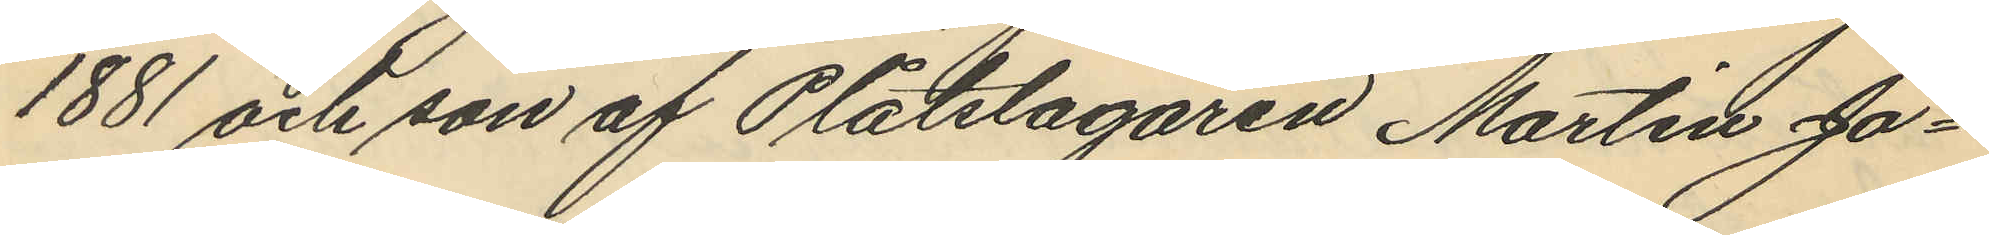1881 och son af Plåtslagaren Martin Jo¬
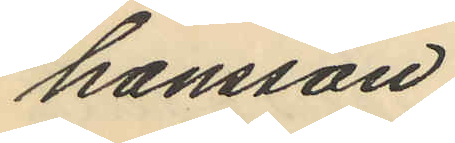hansson.
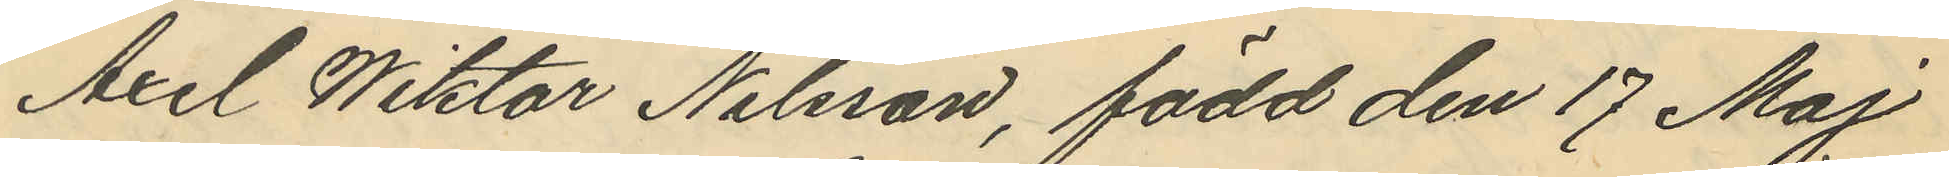Axel Wiktor Nilsson, född den 17 Maj
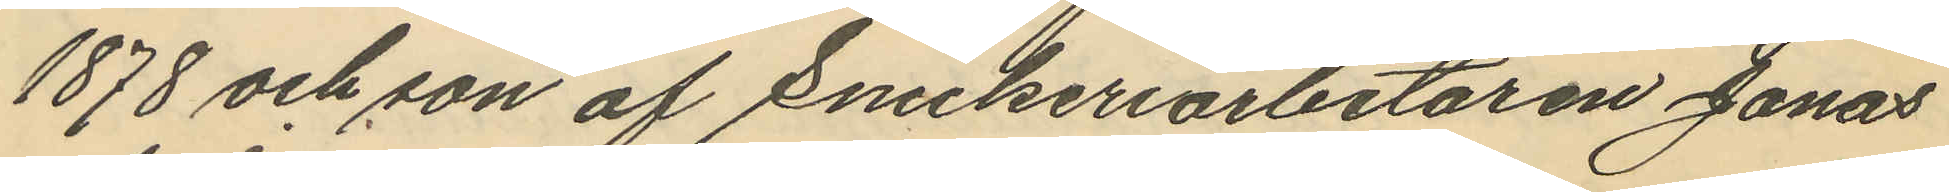1878 och son af Snickeriarbetaren Jonas
